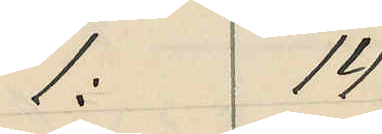1: 14
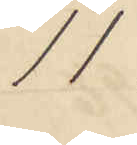11
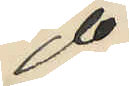do
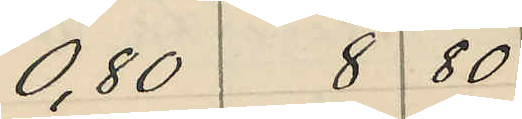0,80 8 80
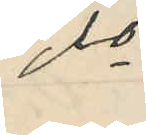do
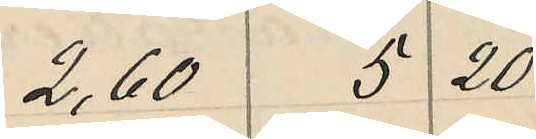2,60 5 20
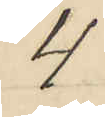4
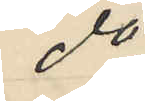do
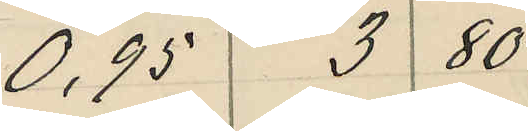0,95 3 80
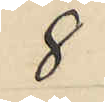8
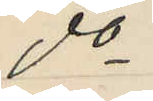do
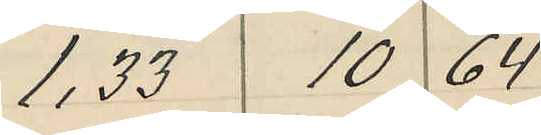1,33 10 64
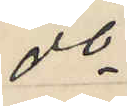do
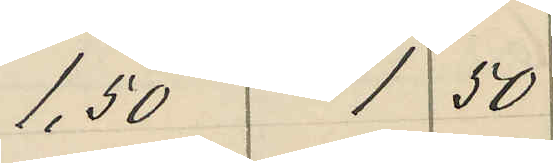1,50 1 50
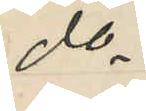do
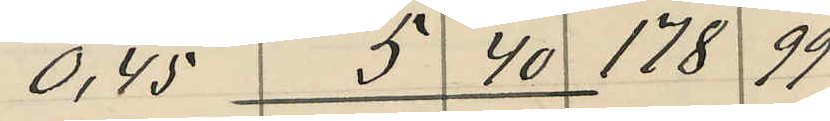0,45 5 40 178 99
